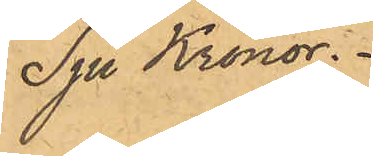Sju Kronor.
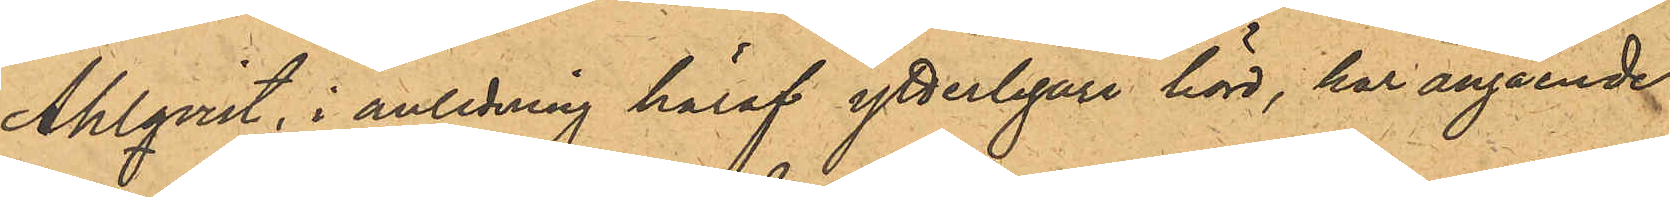Ahlqvist, i anledning häraf ytterligare hörd, har angående
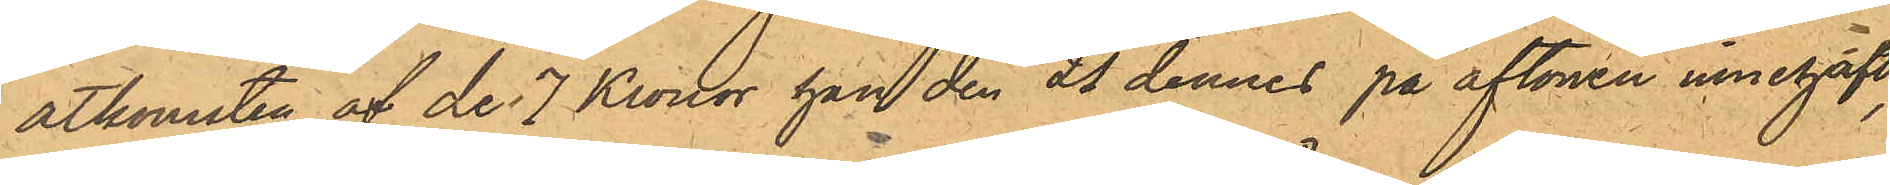åtkomsten af de 7 Kronor han den 21 dennes på aftonen innehaft,
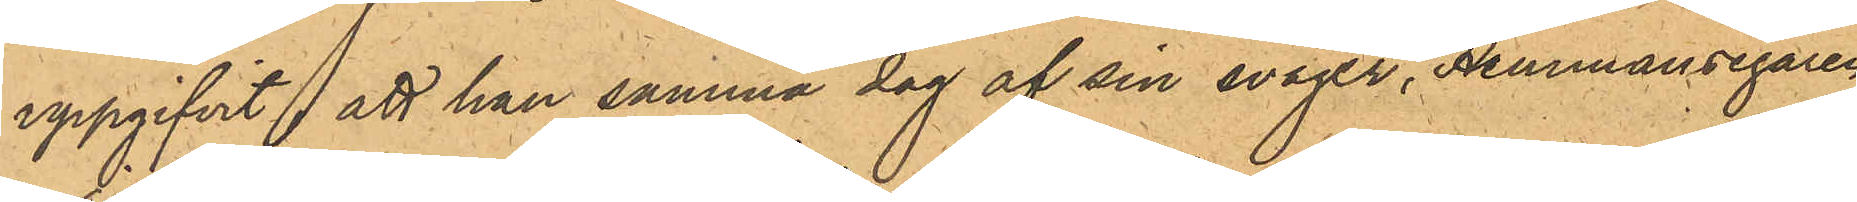uppgifvit att han samma dag af sin svåger, Hemmansegaren
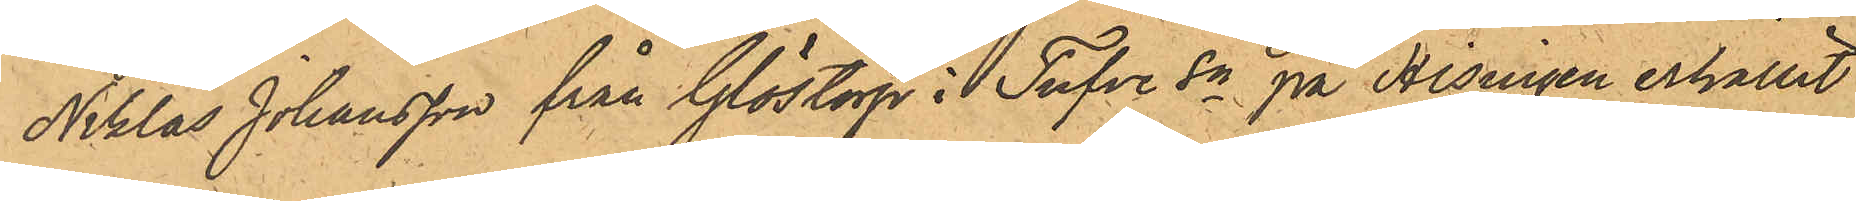Niklas Johansson från Glöstorp i Tufve Sn på Hisingen erhållit
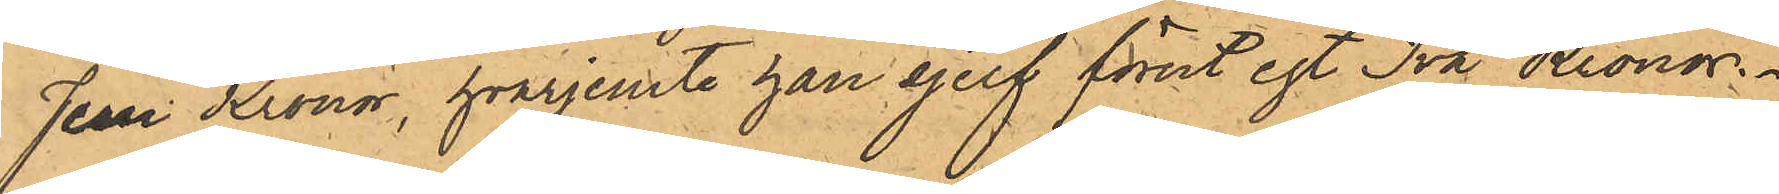Fem Kronor, hvarjemte han sjelf förut egt Två Kronor.
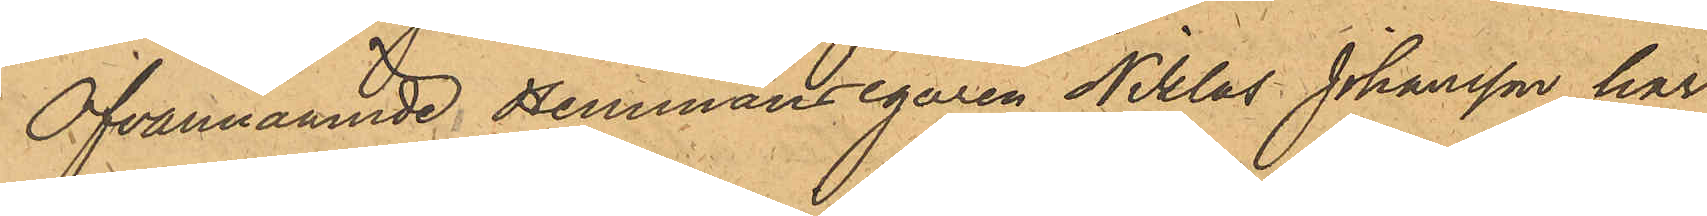Ofvannämnde Hemmansegaren Niklas Johansson har
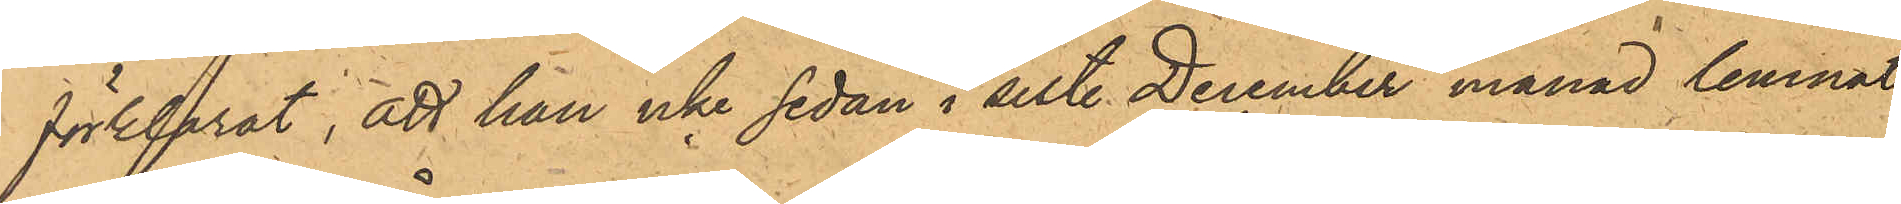förklarat, att han icke sedan i sist. December månad lemnat
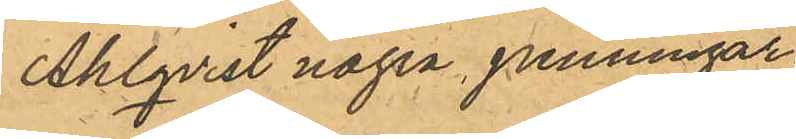Ahlqvist några penningar.
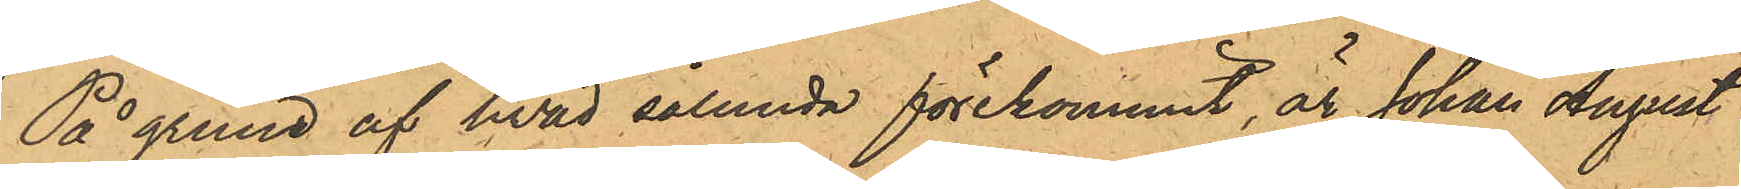På grund af hvad sålunda förekommit, är Johan August
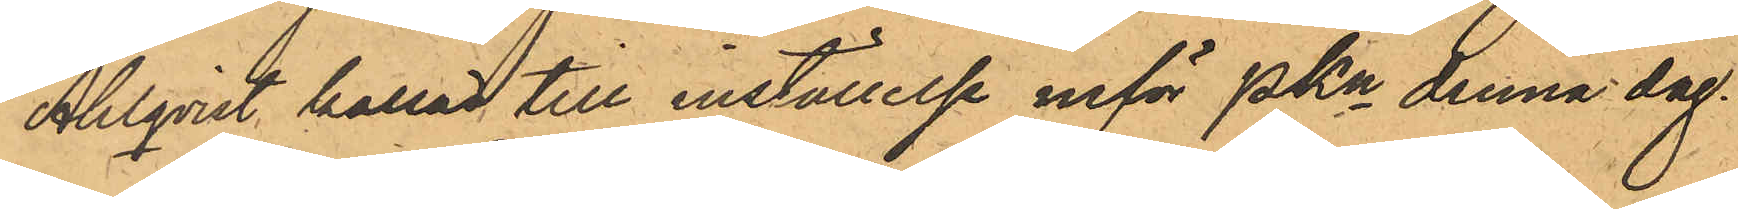Ahlqvist kallad till inställelse inför PKn denna dag.
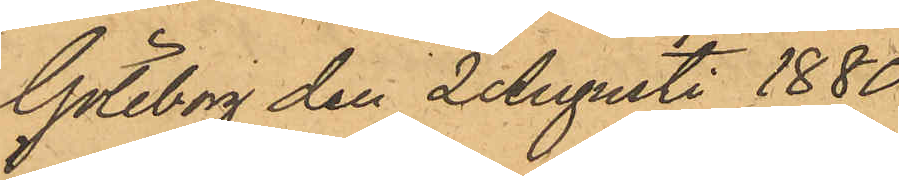Göteborg den 2 Augusti 1880.
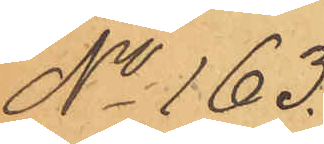No 163.
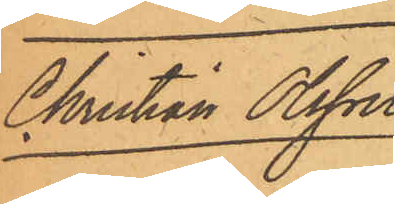Christian Olsson
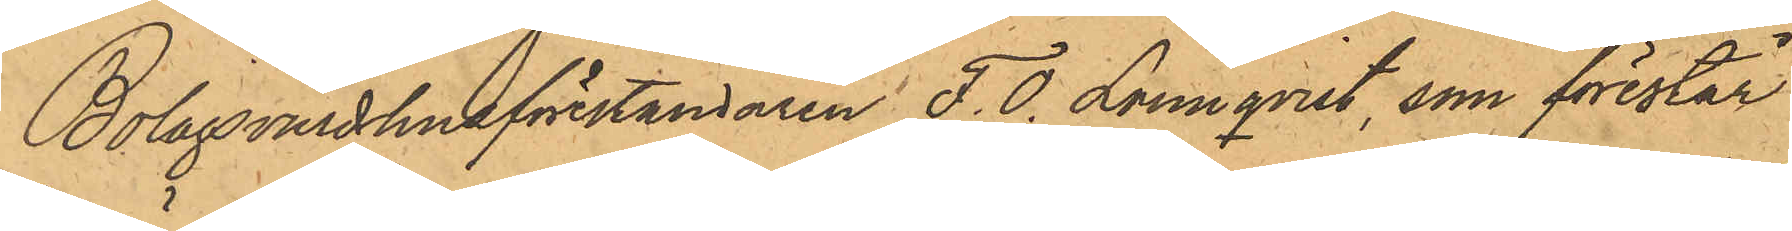Bolagsvärdhusföreståndaren F. O. Lönnqvist, som förestår
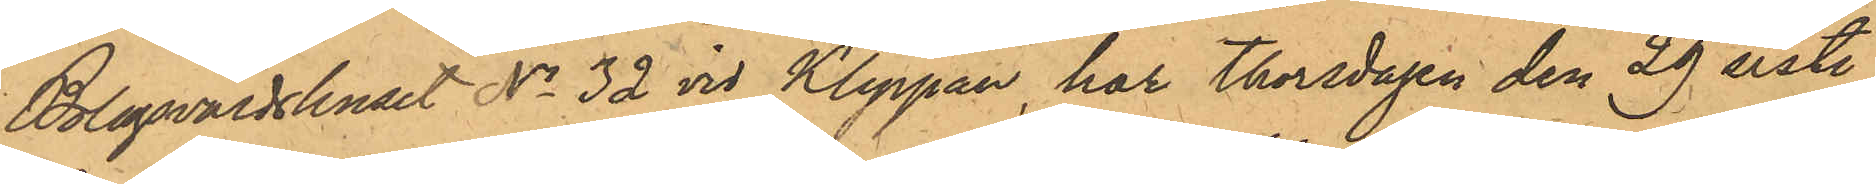Bolagsvärdshuset No 32 vid Klippan, har Thorsdagen den 29 sist.
